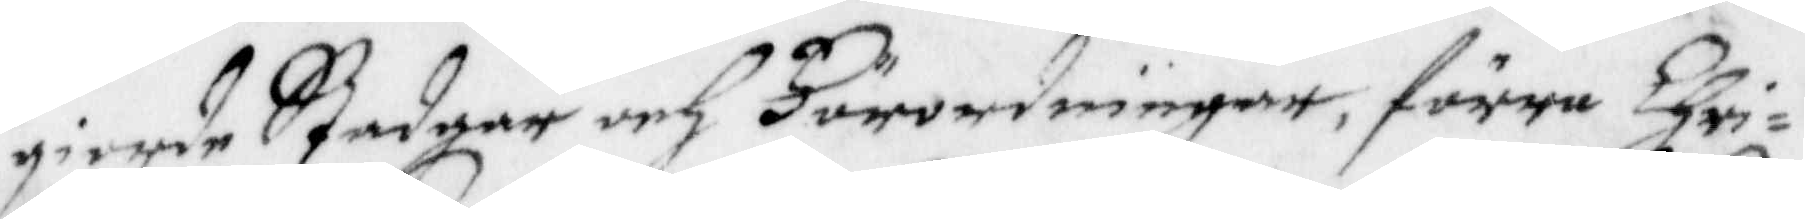giorde stadgar och Förordningar, förre Chri¬
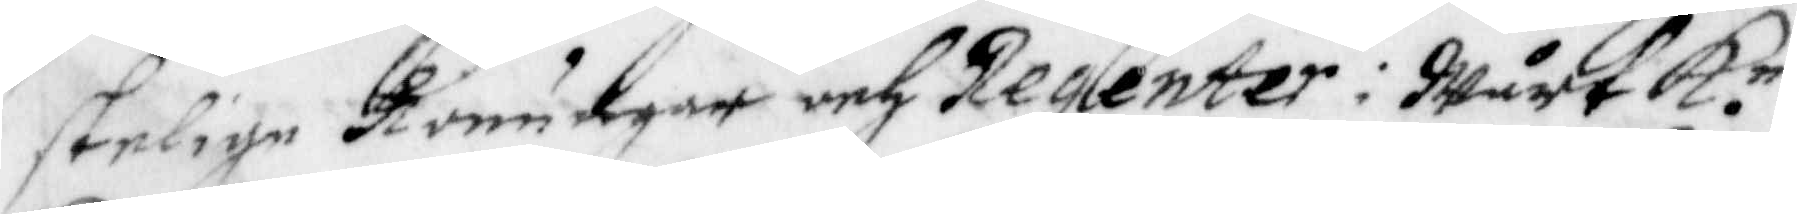stelige Konungar och regenter: Wårt K. n
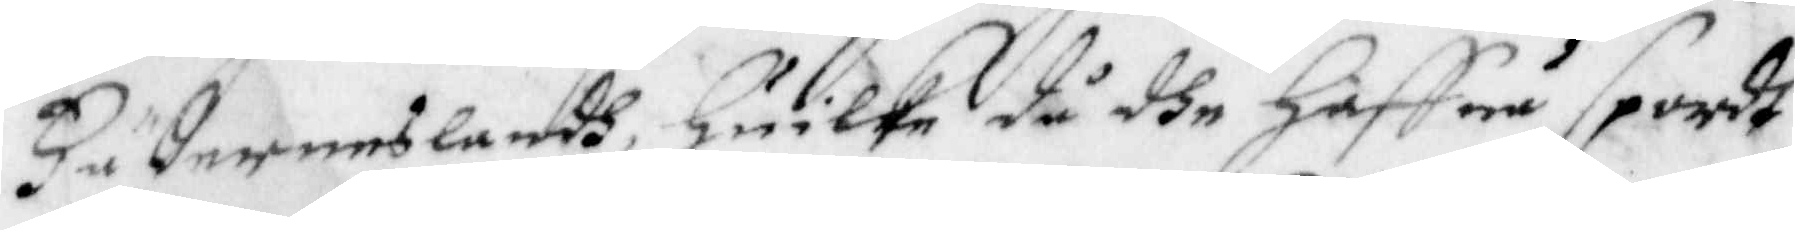Fäderneslandh, Hilka då dhe haffua spordt
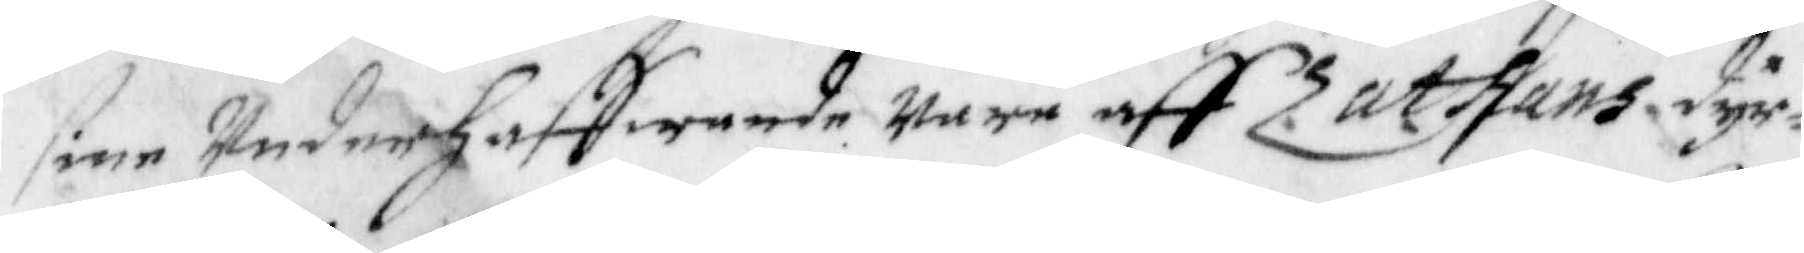sine Underhaffwande wara aff Zathans dyr¬
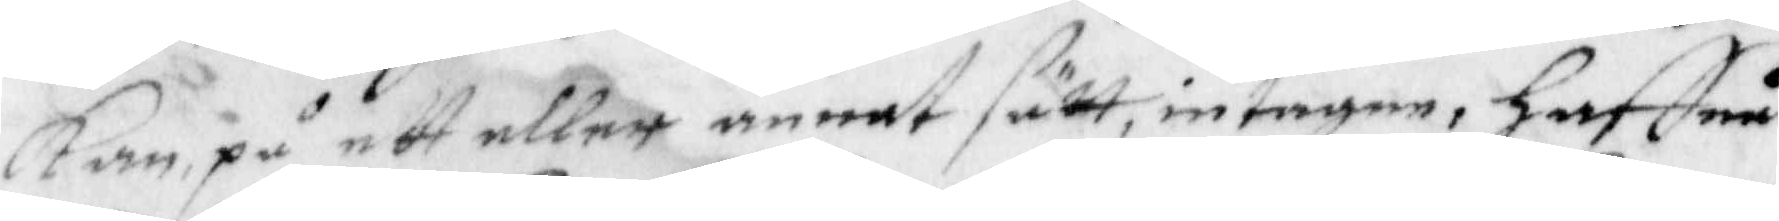kan, på ett eller annat sätt, intagen, Haffua
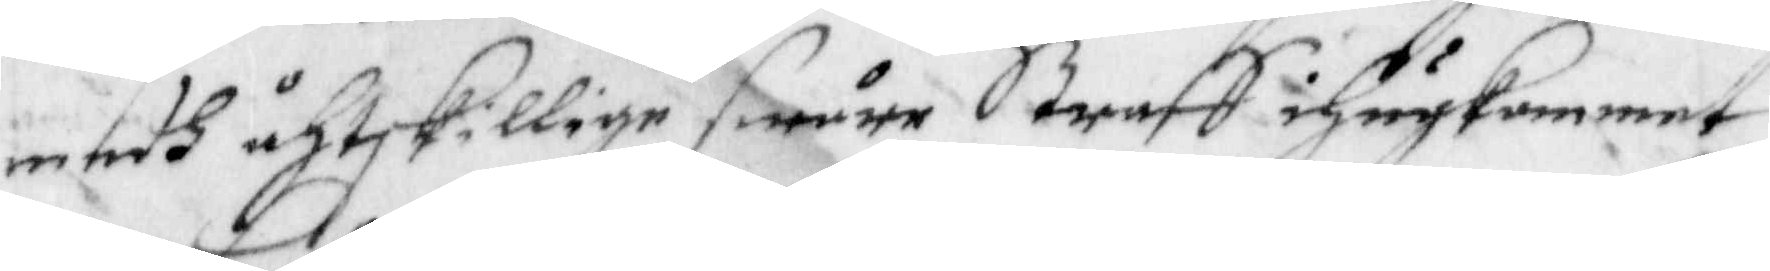medh åtskillige swåre Straff ihågkommet
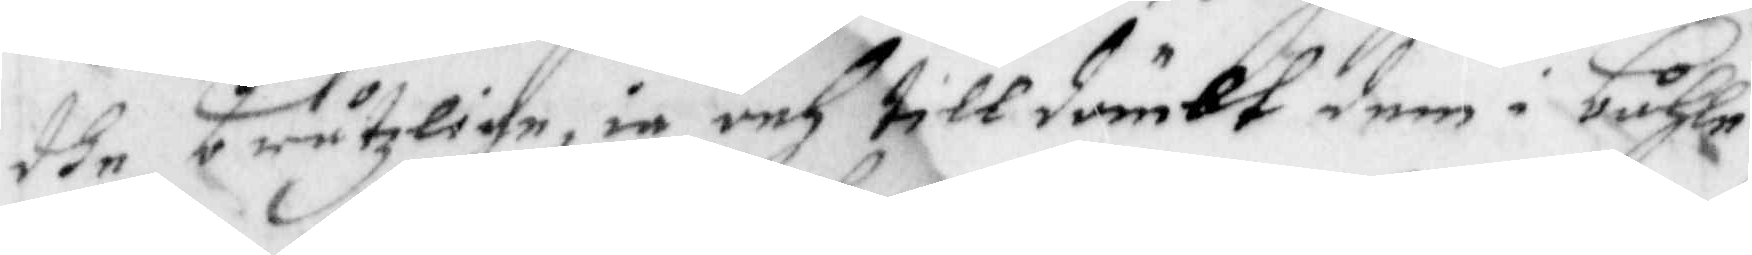dhe bråtzlige, ie och tilldömbt dem i båhle
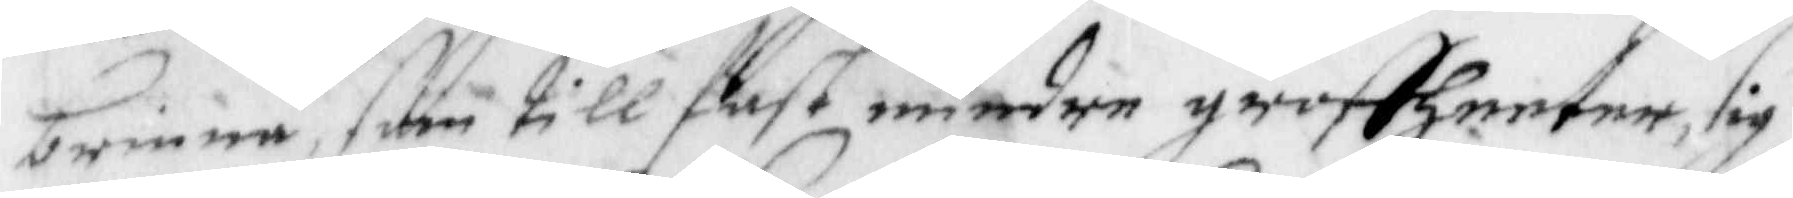brinna, som till fast mindre groffheeter, sig
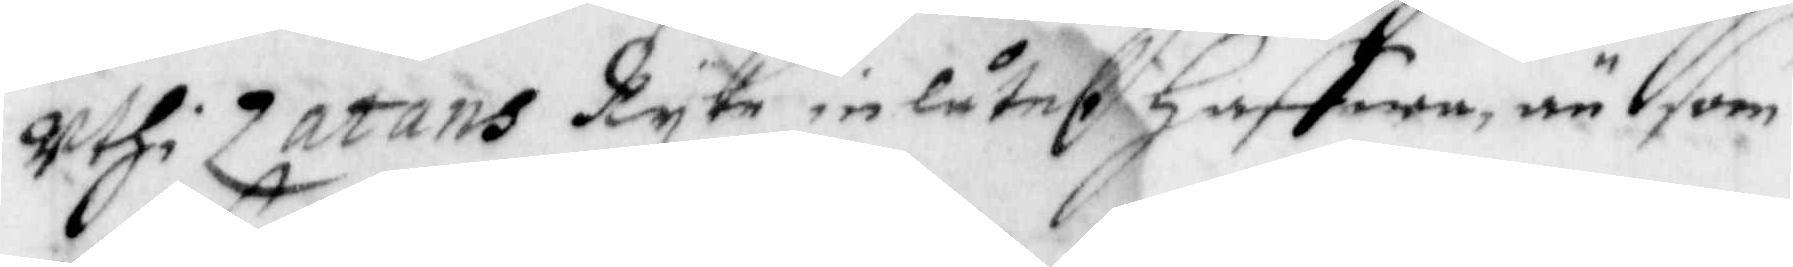uthi Zatans Ryke inlåtet Haffwa, än som
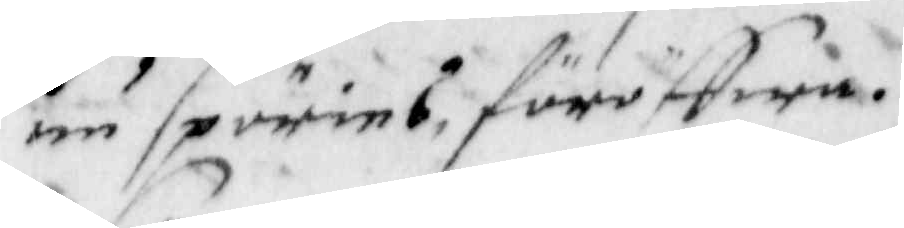nu spörias, föröffwa.
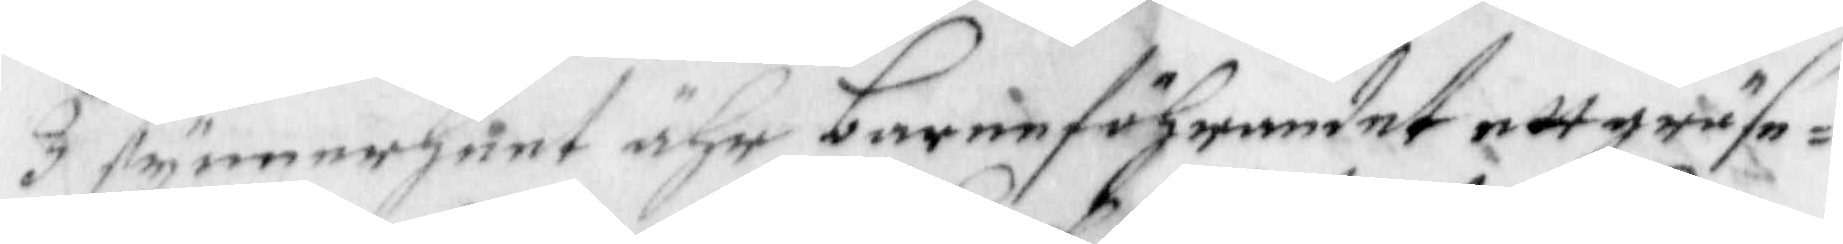I synnerheet ähr barneföhrandet ett gräse¬
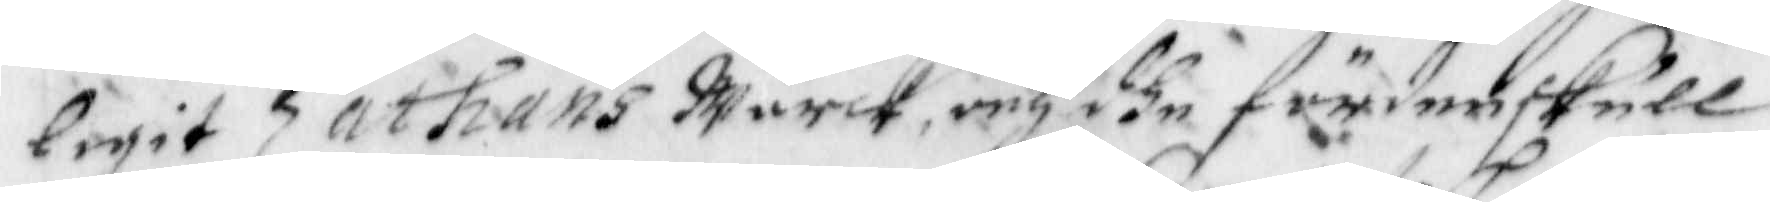ligit Zathans Wärck, och dhe fördenskull
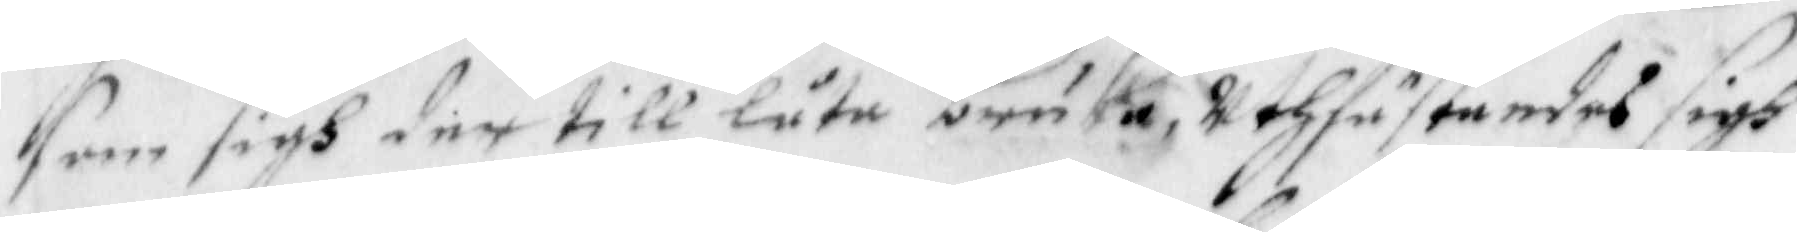som sigh der till låta bruka, uthfuskandes sigh
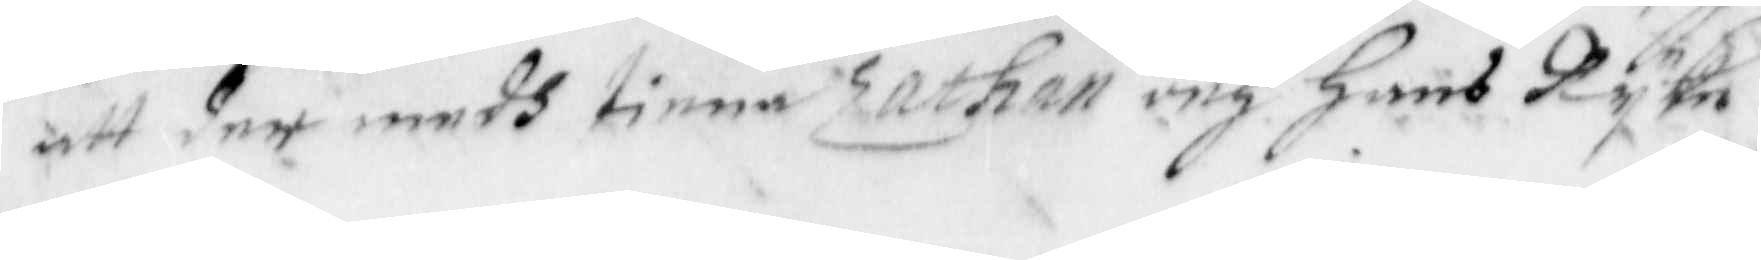att der medh tiena Zathan och Hans Ryke
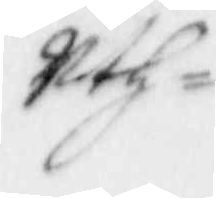uth
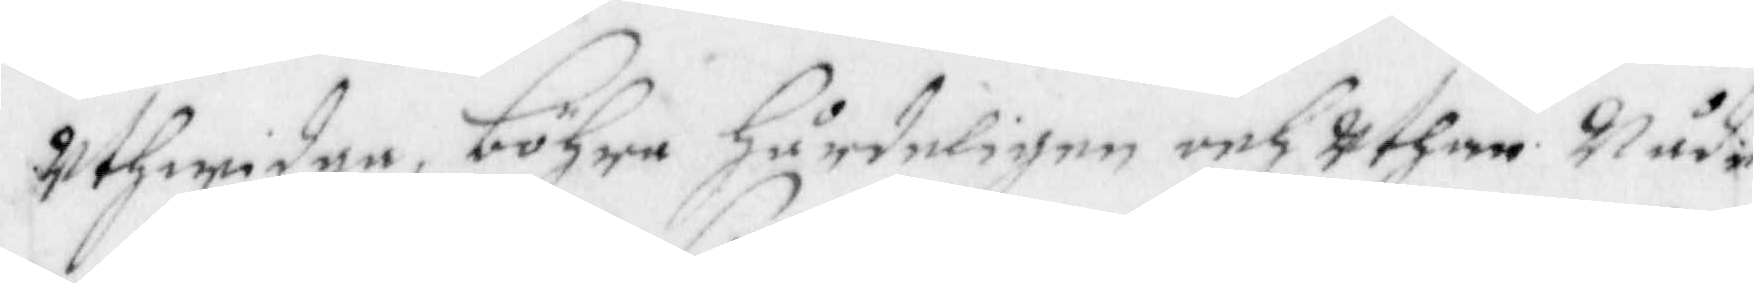Uthwidga, böhra Hårdeligen och Uthan Nåde
